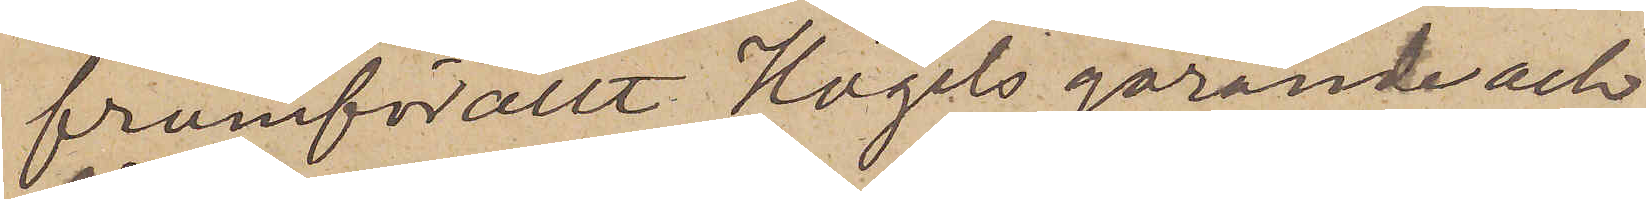framförallt Högels görande och
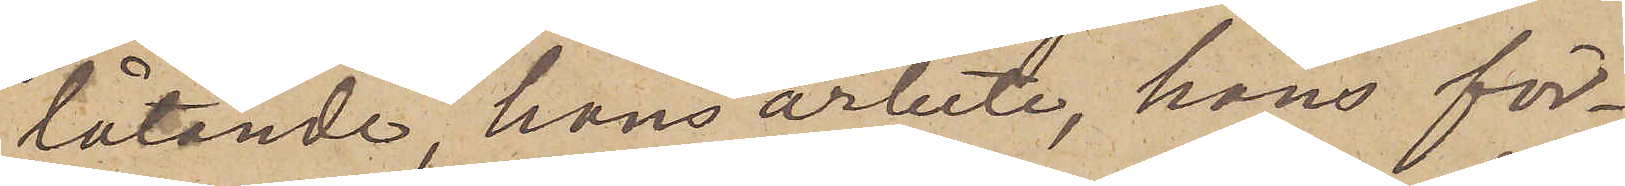låtande, hans arbete, hans för¬
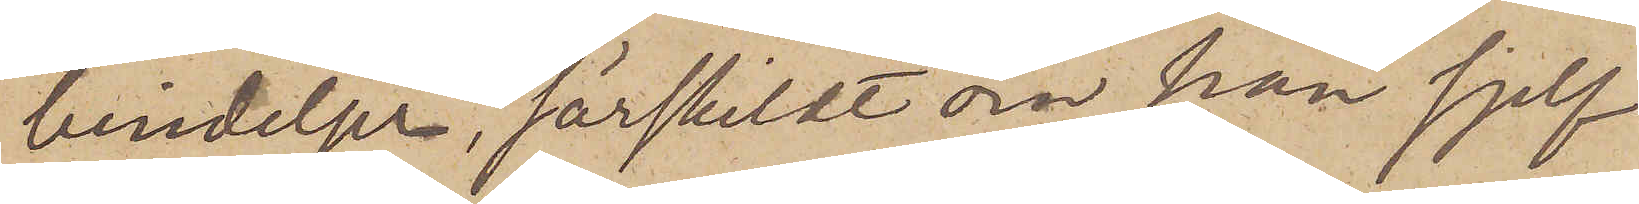bindelser, särskildt om han sjelf
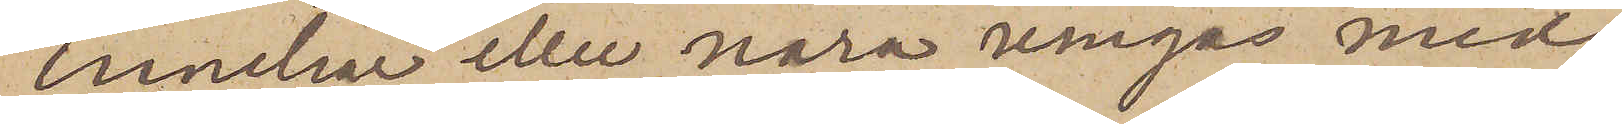innehar eller nära umgås med
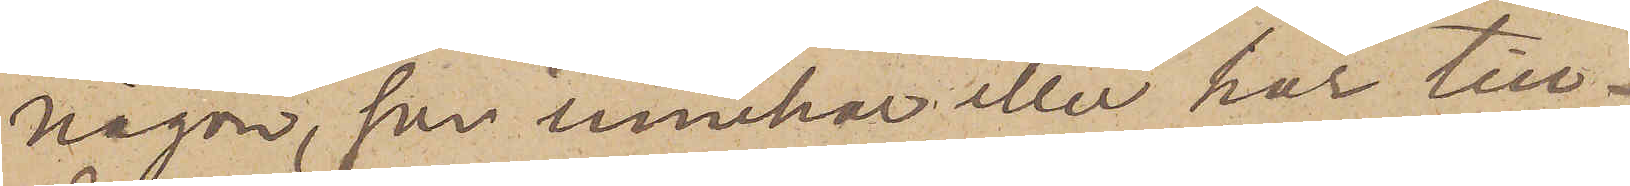någon, som innehar eller har till¬
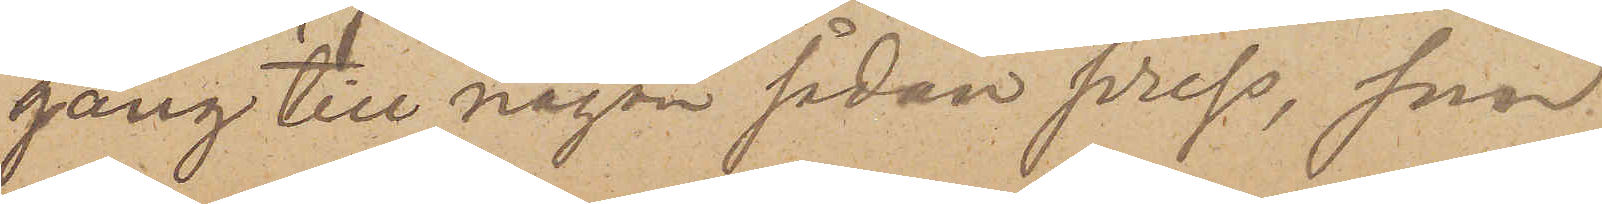gång till någon sådan press, som
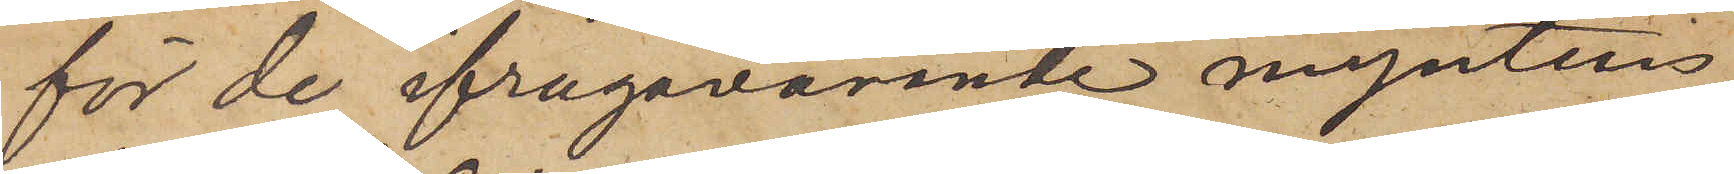för de ifrågavarande myntens
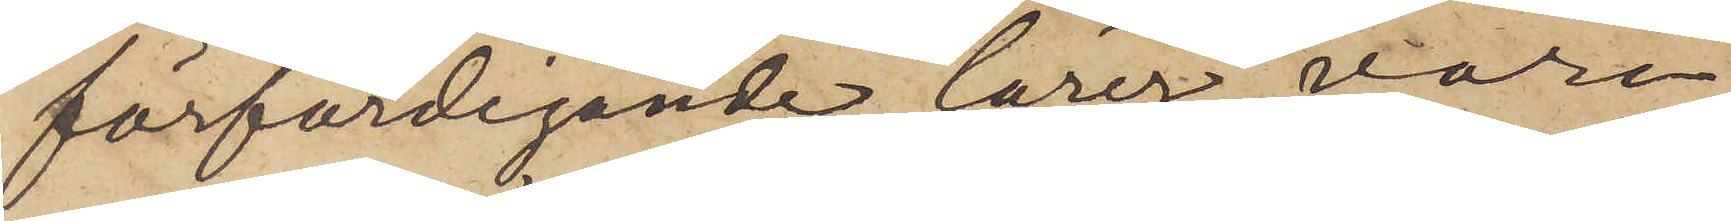förfärdigande lärer vara
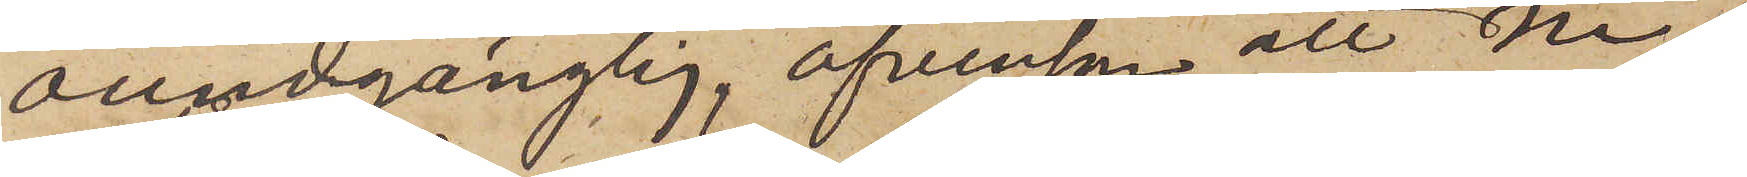oundgänglig, äfvensson att Ni
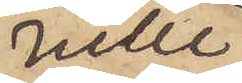ville
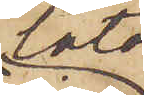låta
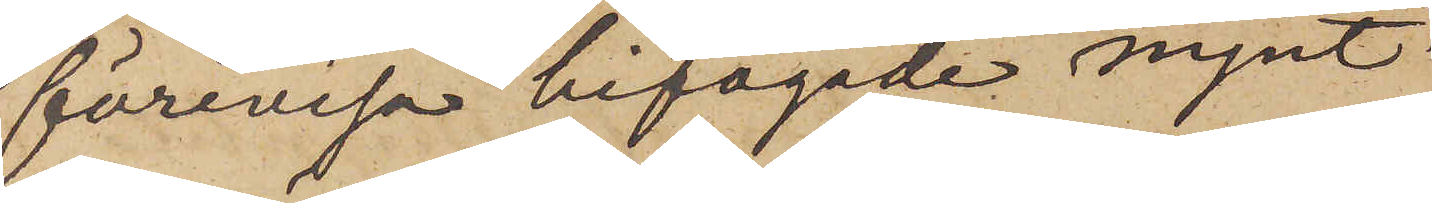förevisa bifogade mynt
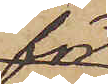för
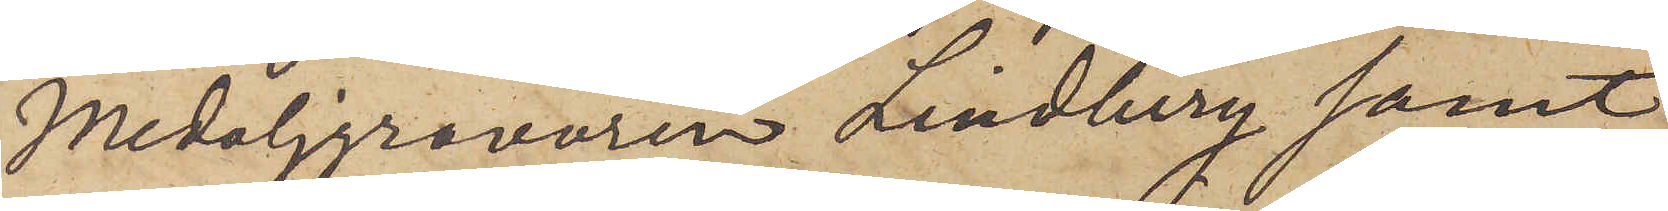Medaljgravören Lindberg samt
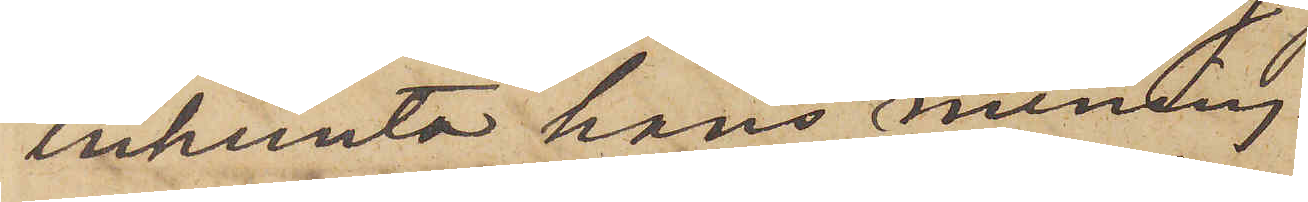inhemta hans mening.
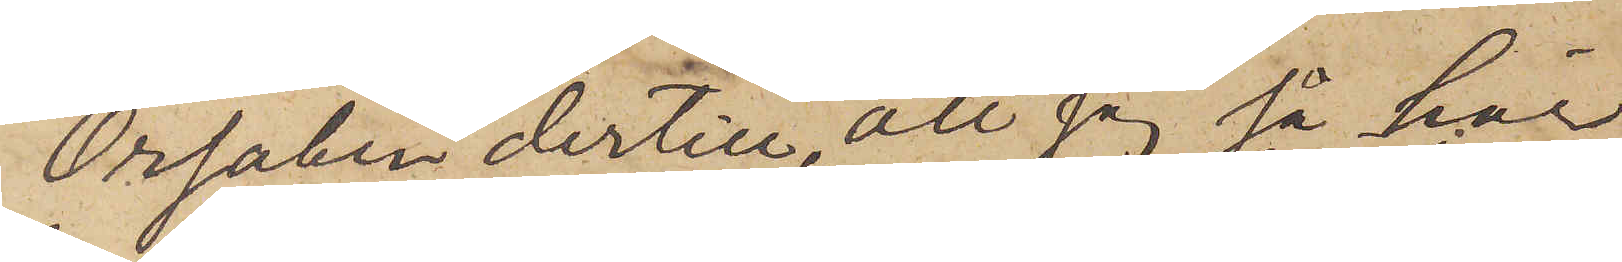Orsaken dertill, att jag så här
